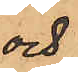och
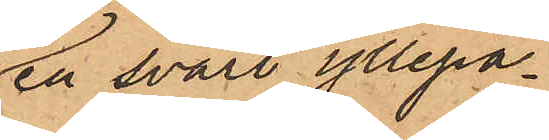en svart yllepa¬
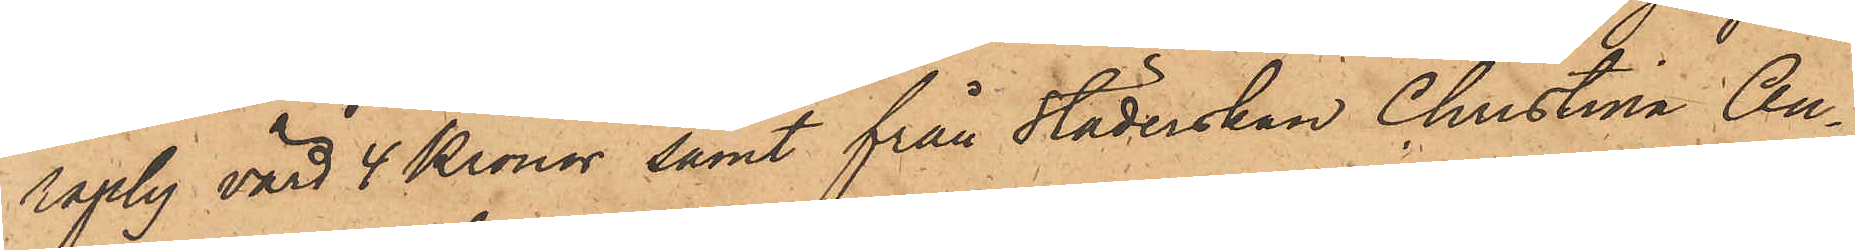raply värd 4 Kronor samt från städerskan Christina An¬
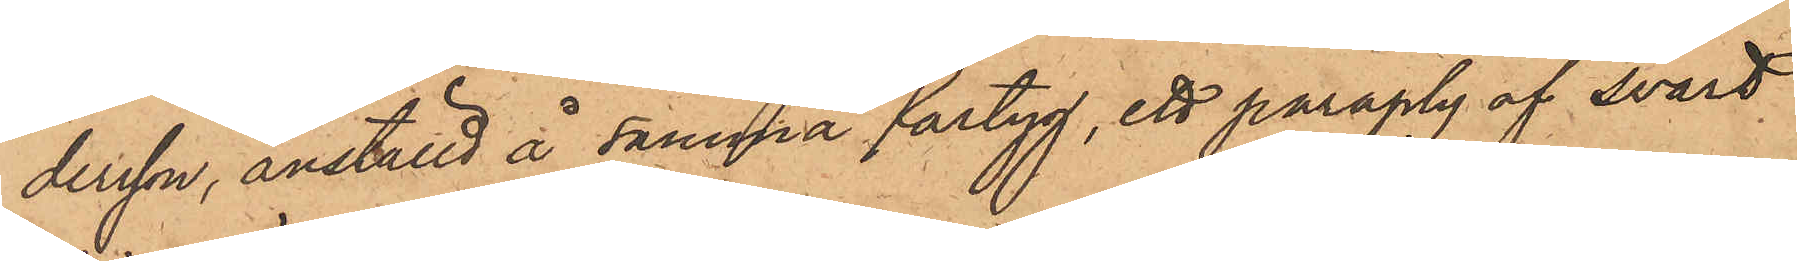dersson, anställd å samma fartyg, ett paraply af svart
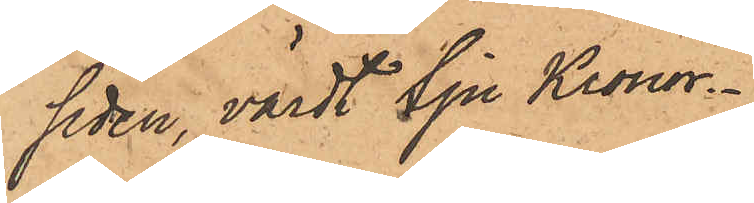siden, värdt Sju Kronor.
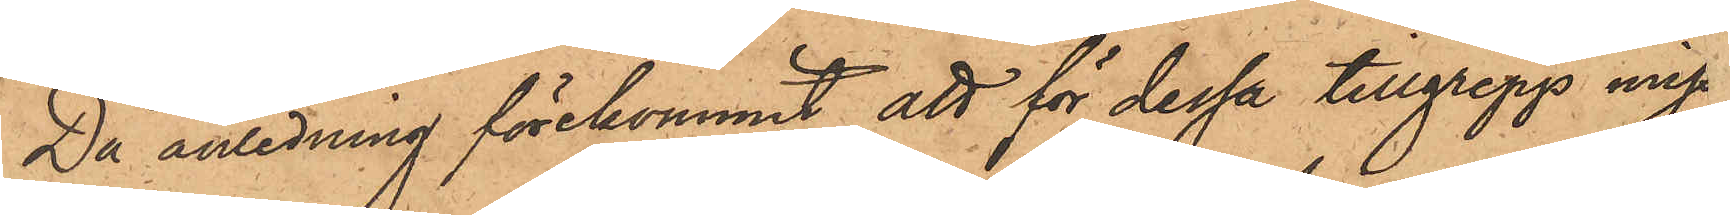Då anledning förekommit att för dessa tillgrepp miss¬
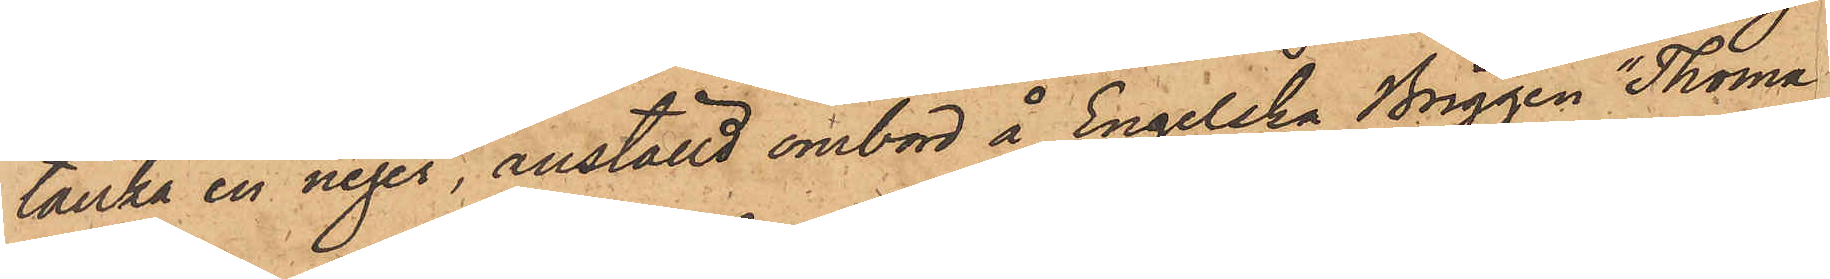tänka en neger, anställd ombord å Engelska Briggen "Thoma
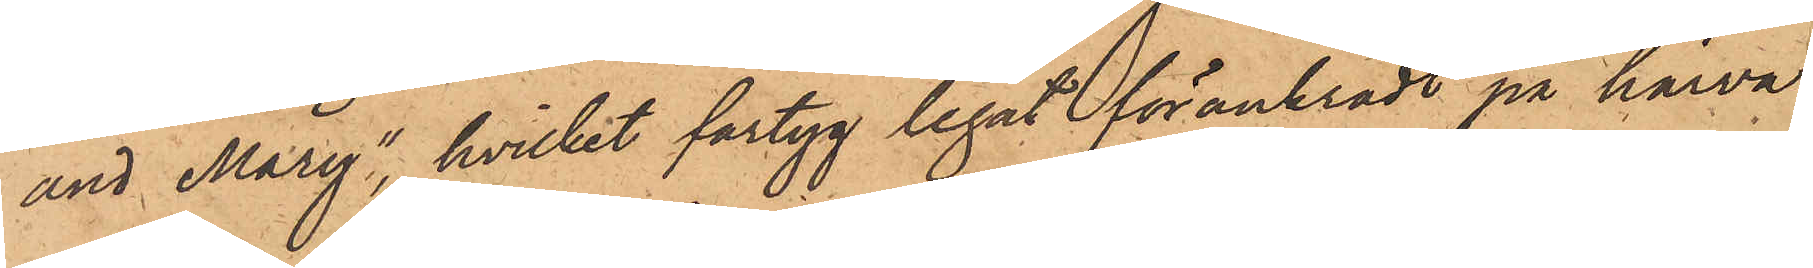and Mary", hvilket fartyg legat förankradt på härva¬
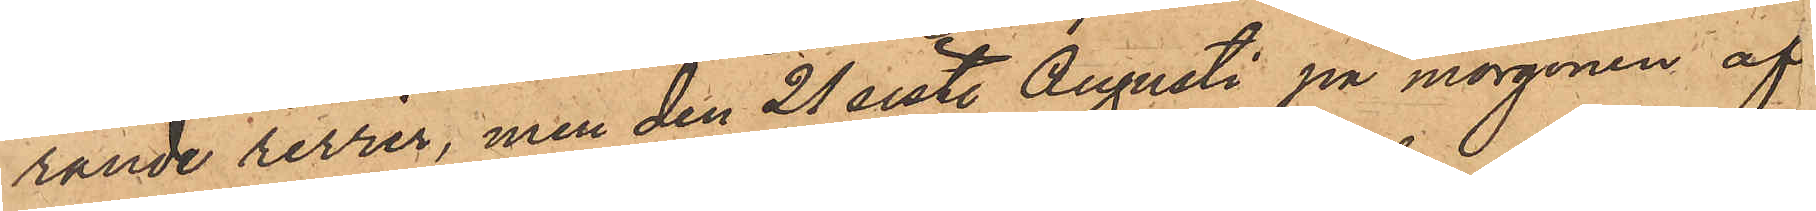rande revier, men den 21 sist. Augusti på morgonen af¬
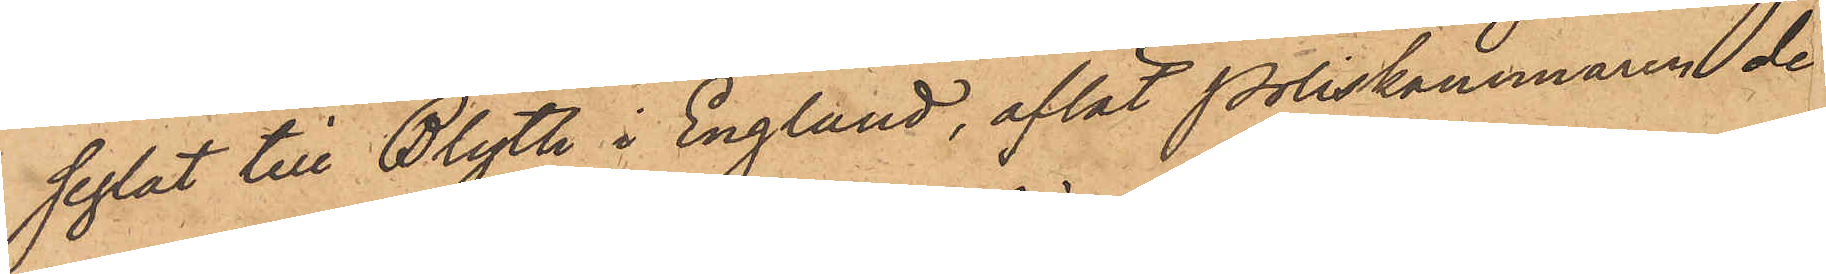seglat till Blyth i England, aflät Poliskammaren de
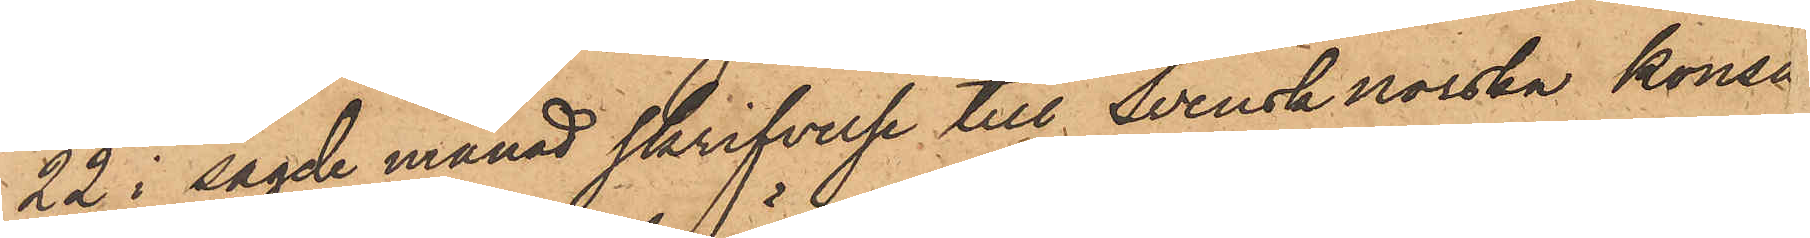22 i sagde månad skrifvelse till Svensknorska konsu
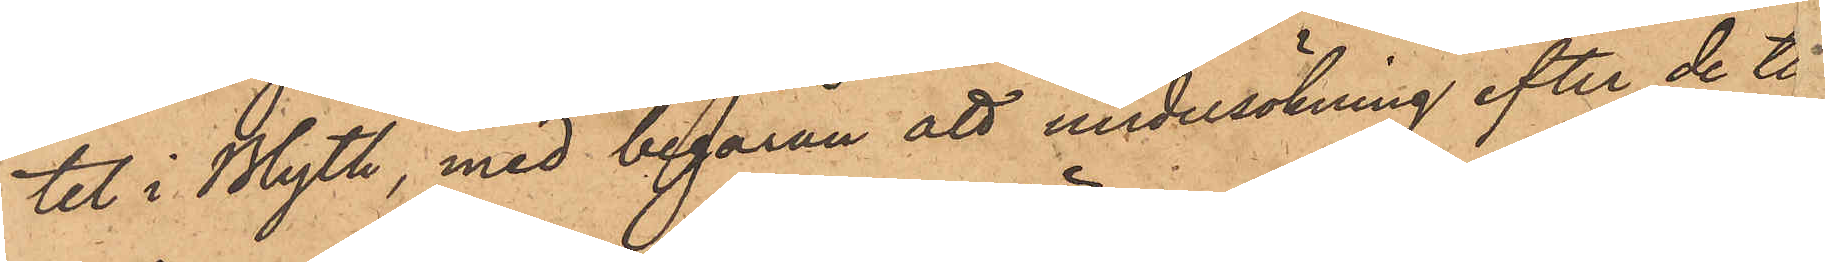tet i Blyth, med begäran att undersökning efter de ti
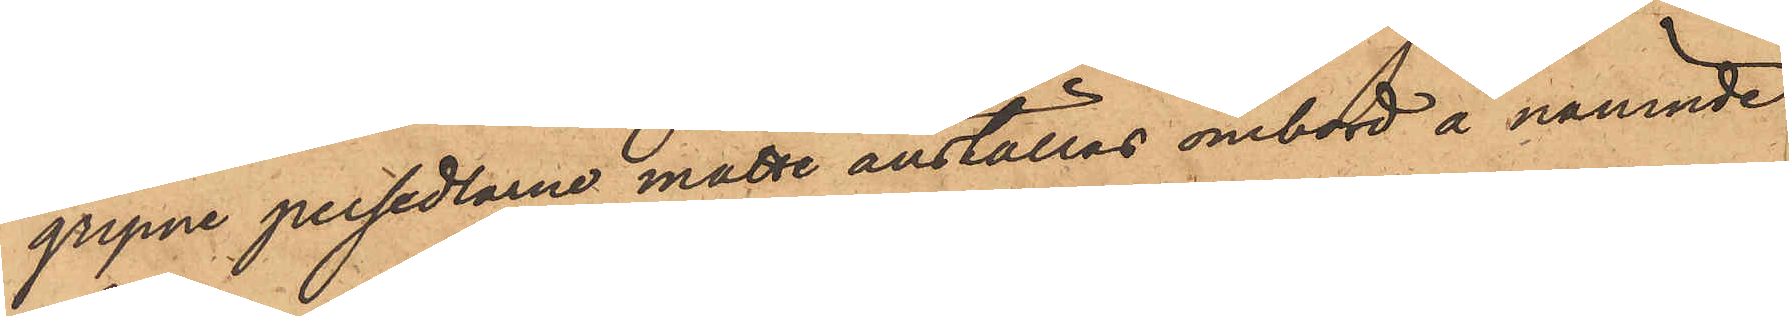gripne persedlarne måtte anställas ombord å nämnde
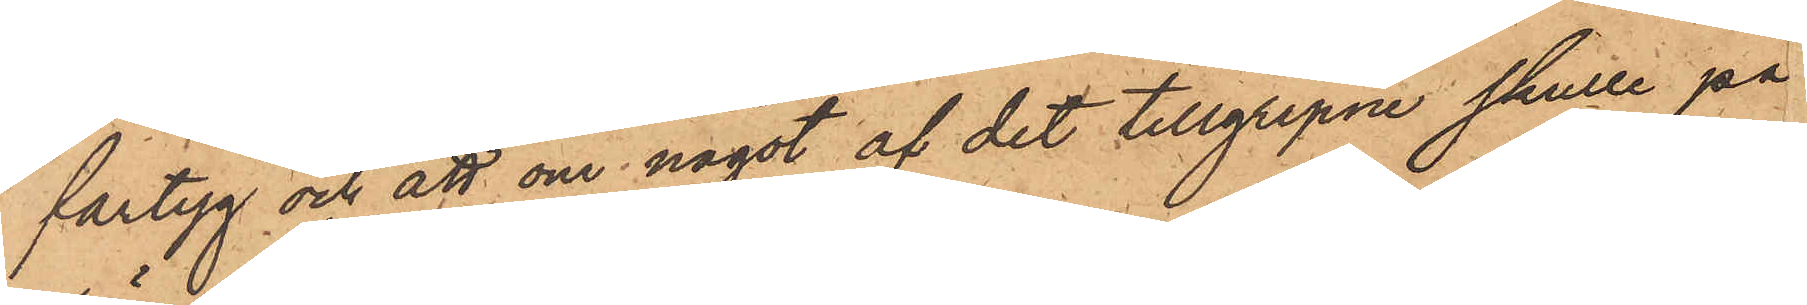fartyg och att om något af det tillgripne skulle på¬
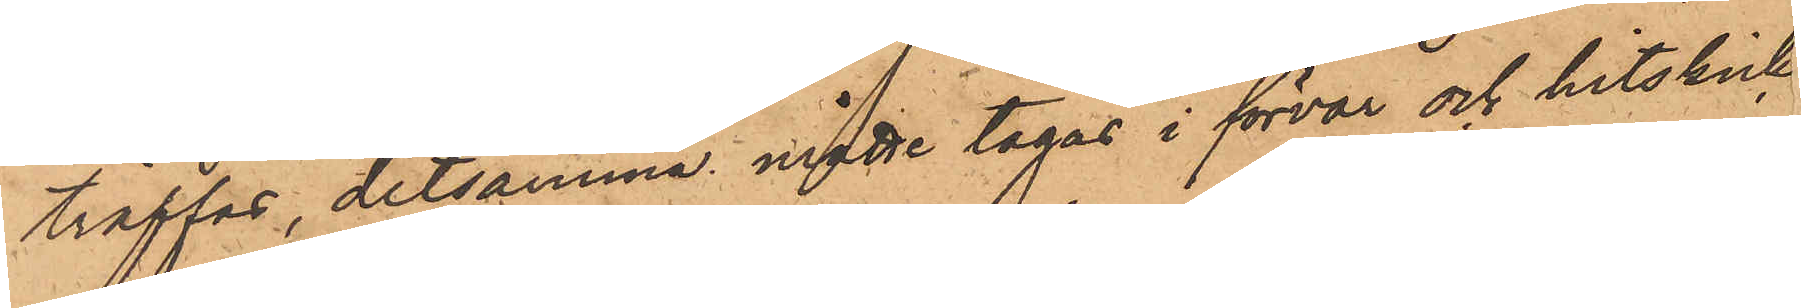träffas, detsamma måtte tagas i förvar och hitskick
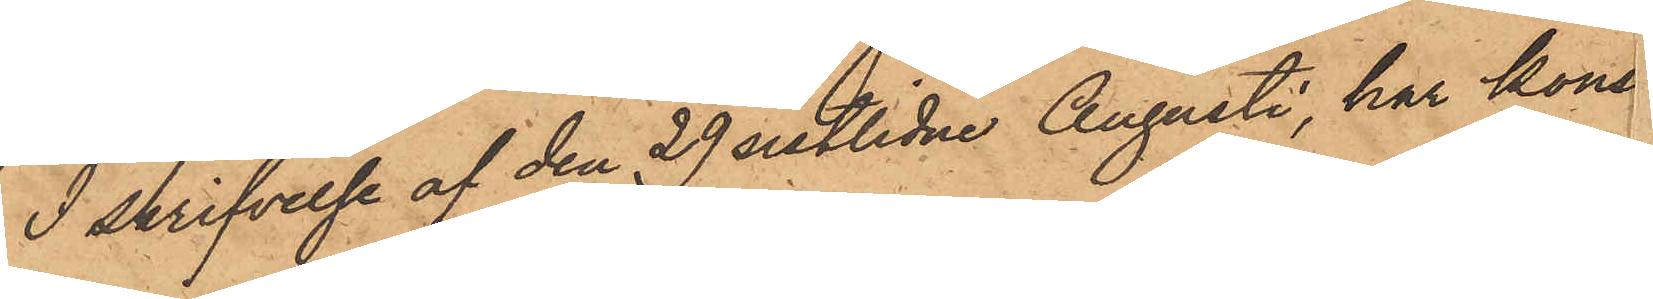I skrifvelse af den 29 sistlidne Augusti, har kons
